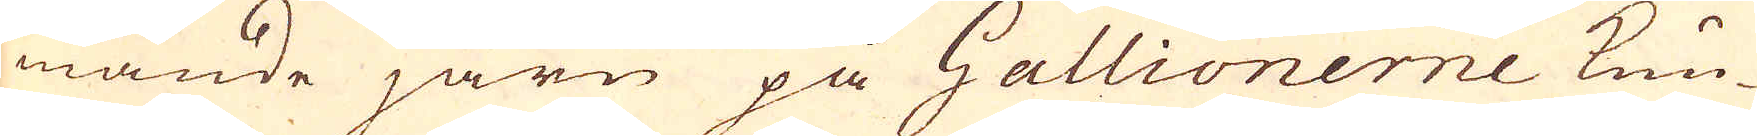mande järn på Gallionerne kun-
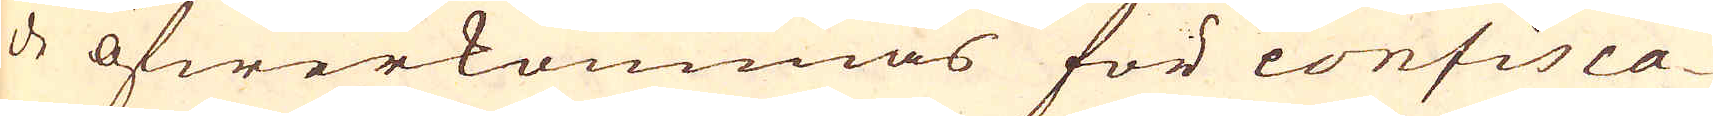de öfwerkommas för confisca-
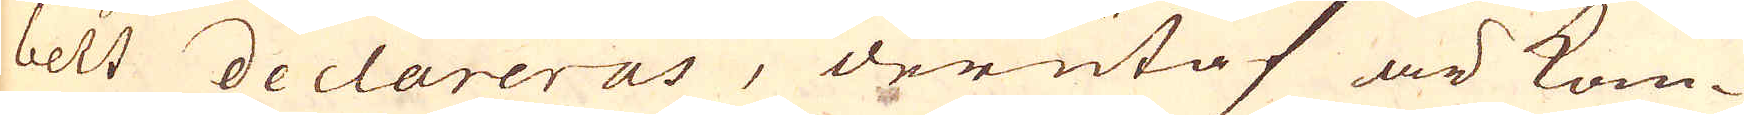belt declareras, derutaf är kom-
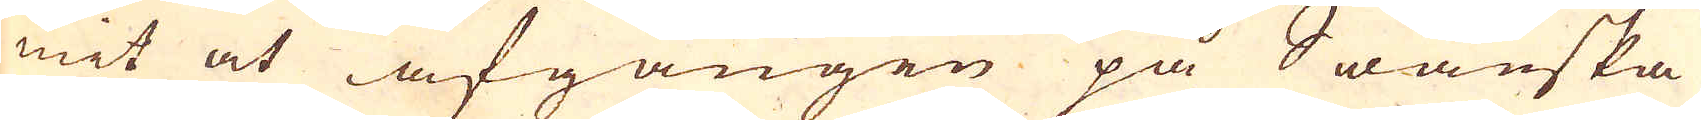mit at afgången på Swänska
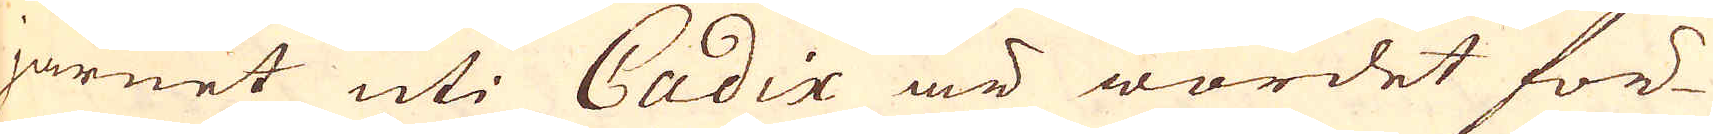järnet uti Cadix är wordet för-
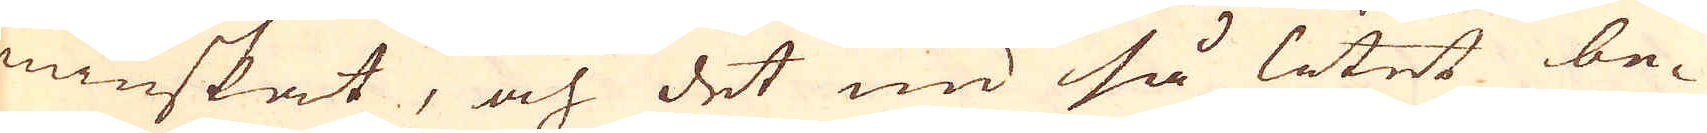minskat, och det nu så litet be-
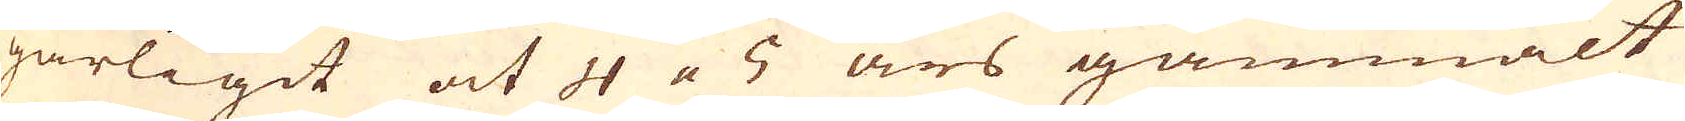gärligit at 4 a 5 års gammalt
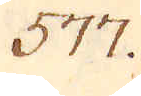577.
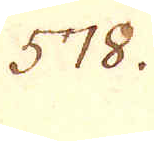578.
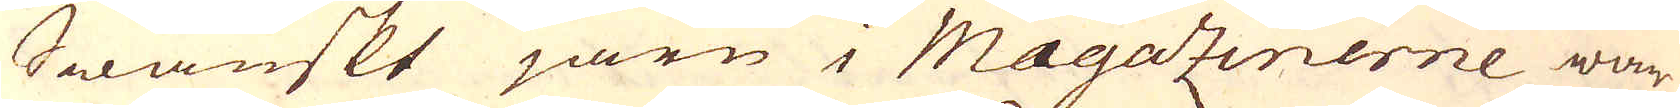Swänskt järn i Magazinerne war-
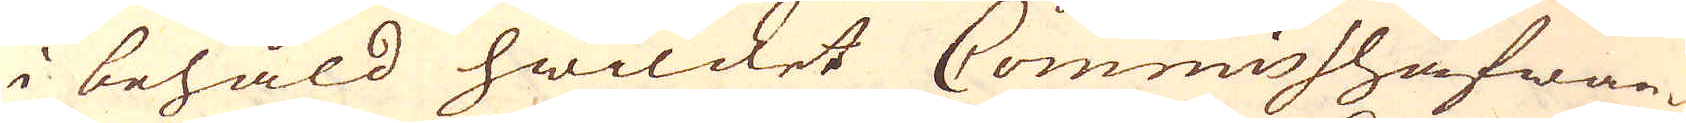i behåld hwilcket Commisshafwan-
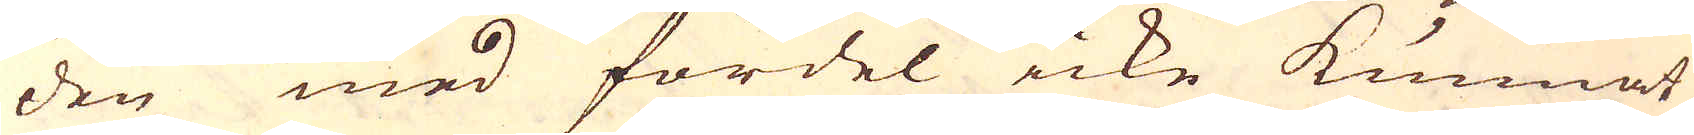den med fördel icke kunnat
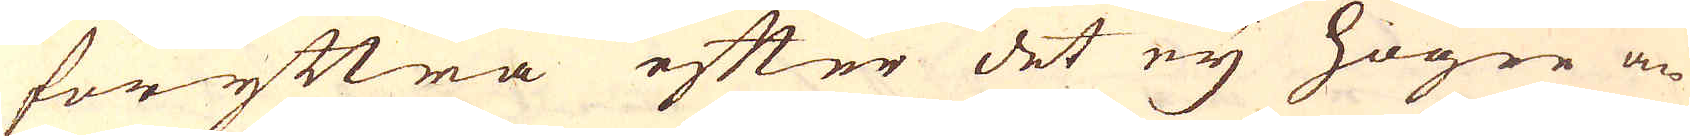föryttra efter det eij högre än-
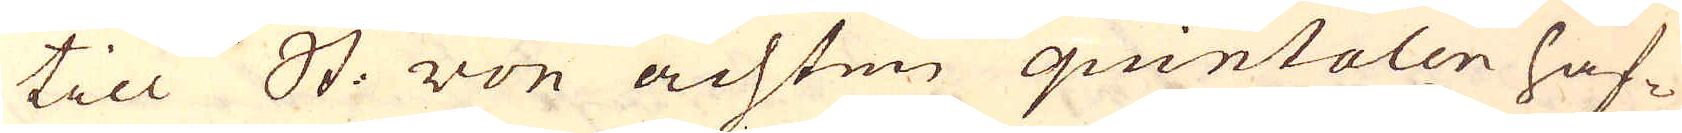till Stn. von achten quintalen haf-
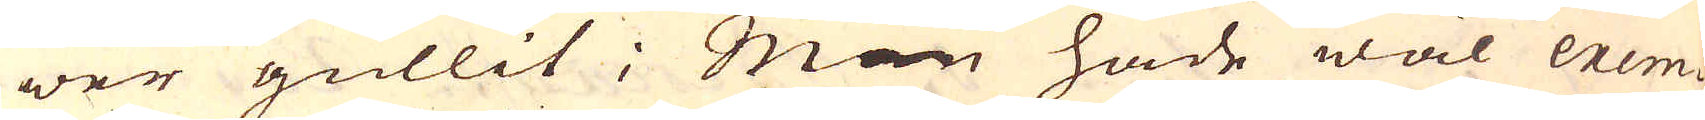wer gullit; Man hade wäl exem-
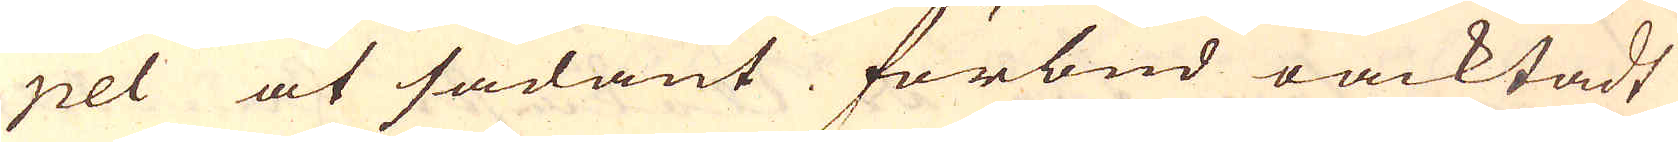pel at sådant förbud oacktadt
